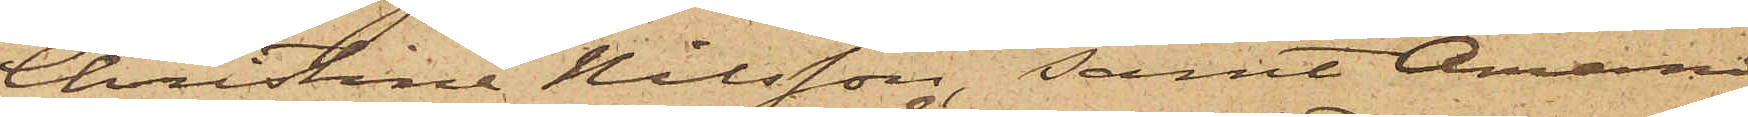Christina Nilsson, samt Anna
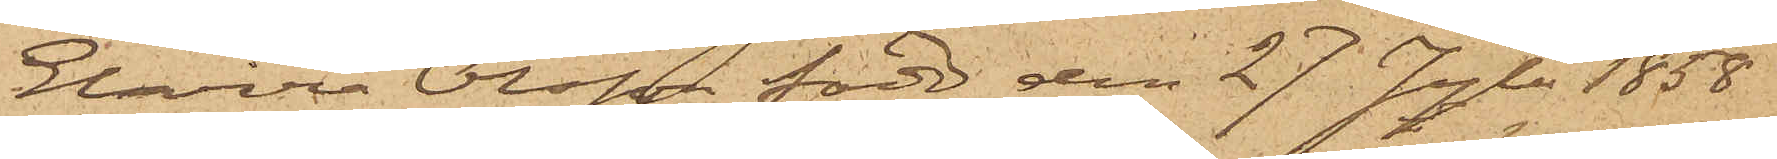Elvira Olsson, född den 27 Juli 1858
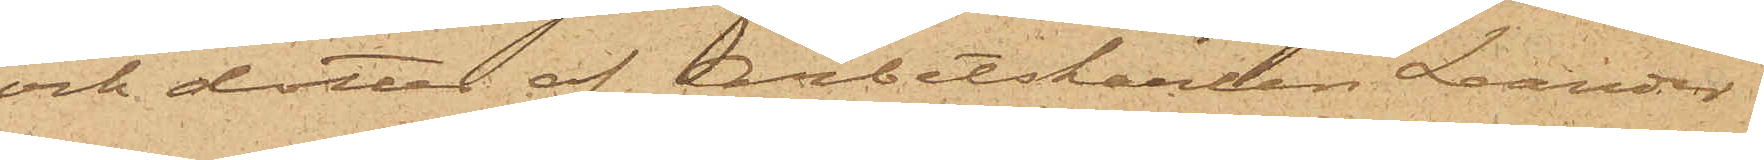och dotter af Arbetskarlen Leander
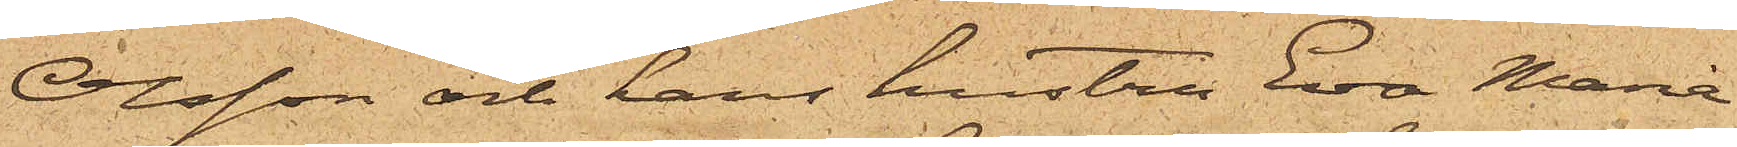Olsson och hans hustru Eva Maria
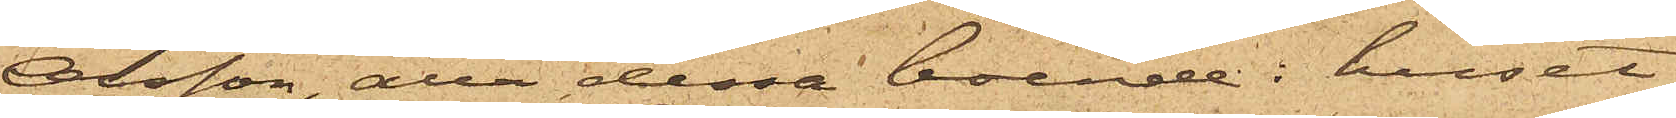Olsson, alla dessa boende i huset
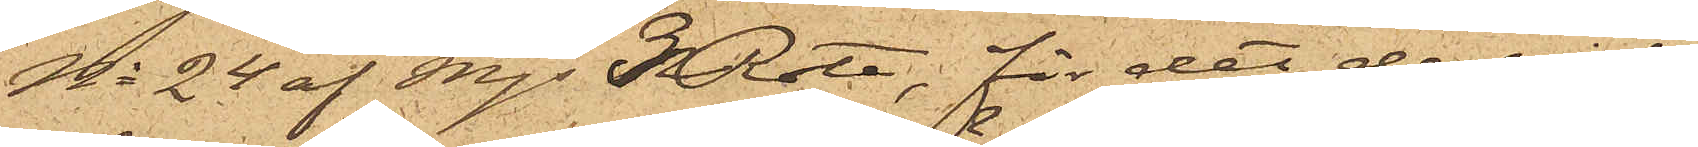No 24 af Mjs 5 Rote, för det de vid
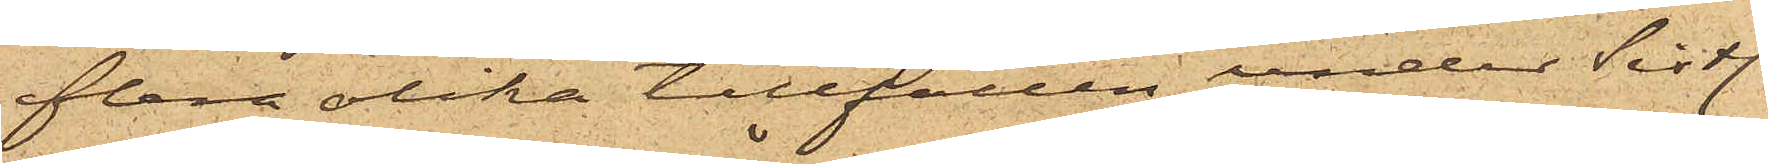flera olika tillfällen under sistl.
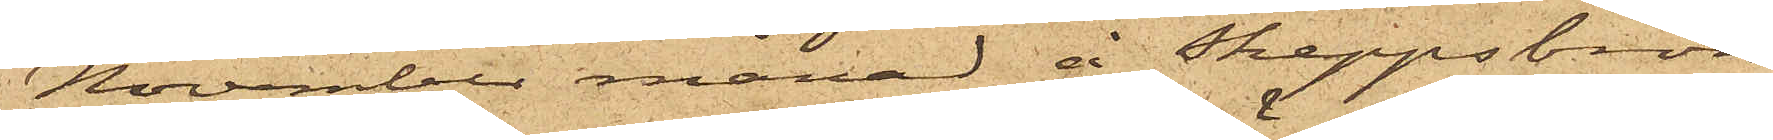November månad å Skeppsbron
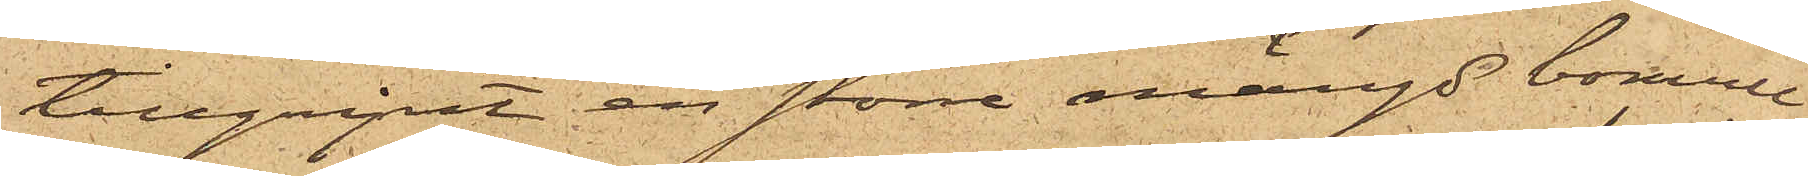tillgripit en större mängd bomull
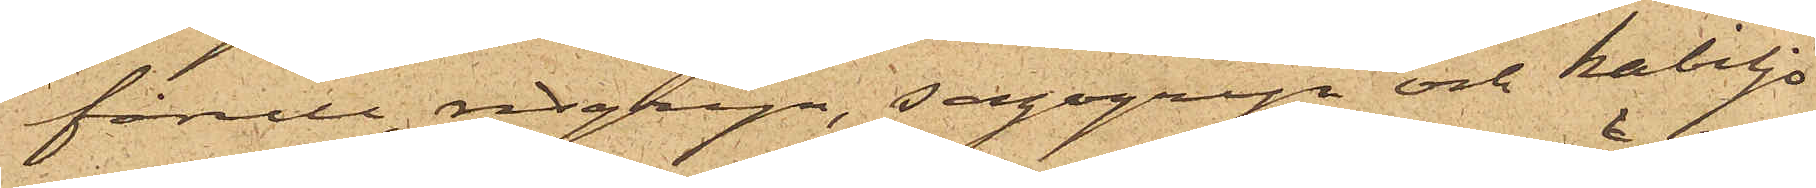fårull, risgryn, sagogryn och kabiljo
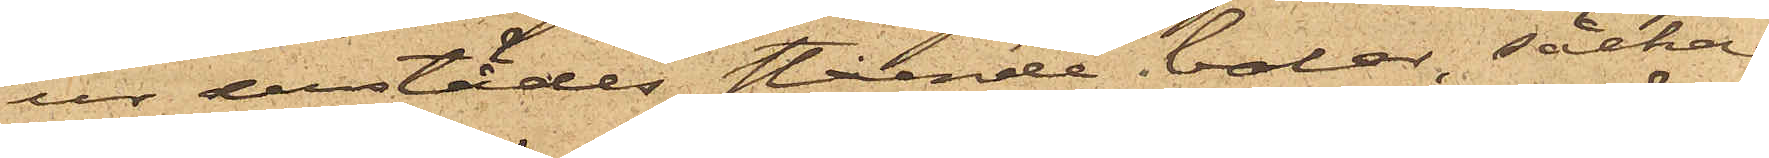ur derstädes stående balar, säckar
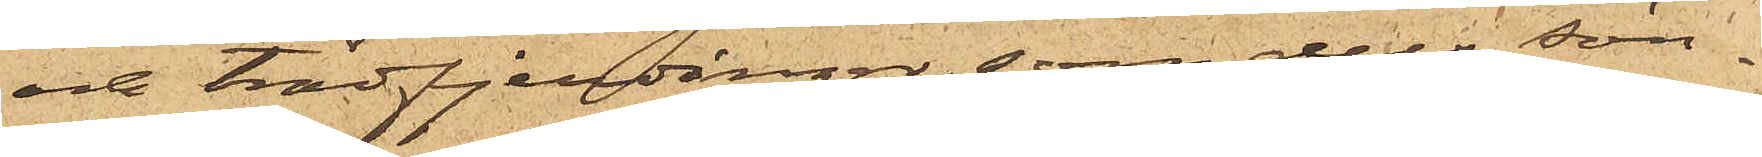och trädfjerdingar, som dels sön¬
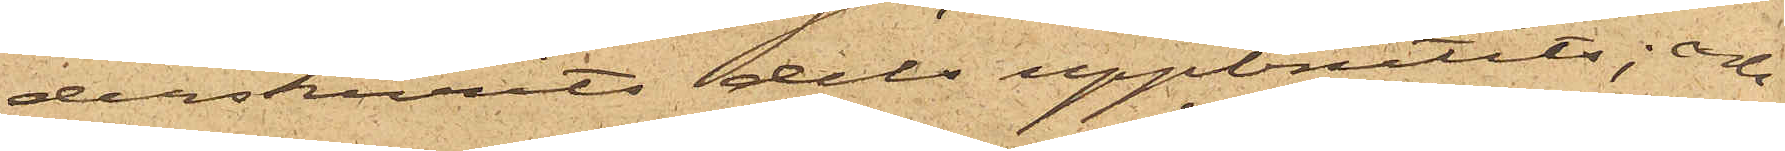derskurits dels uppbrutits; och
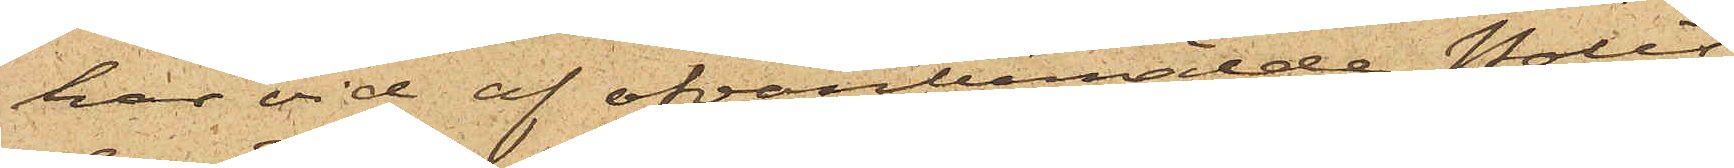har vid af ofvanbemälde Polis¬
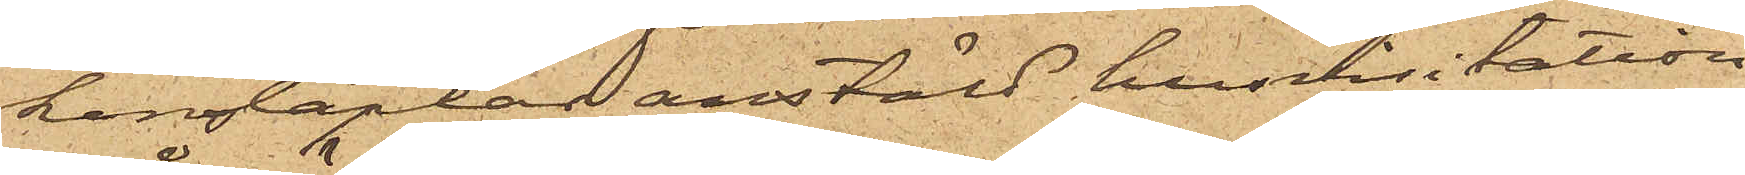konstaplar anstäld husvisitation
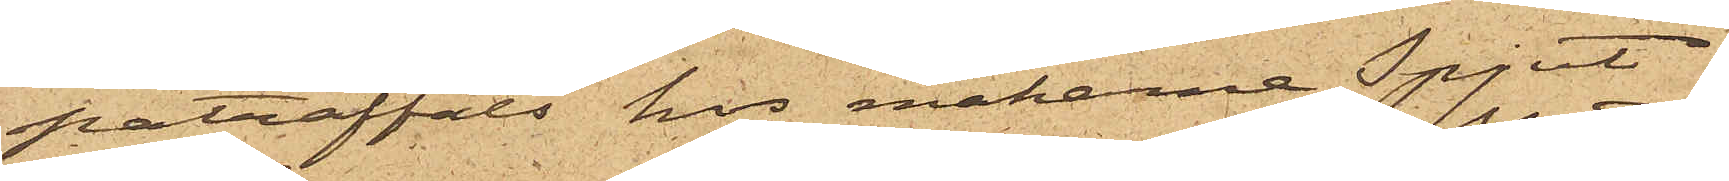påträffats hos makarne Spjut
